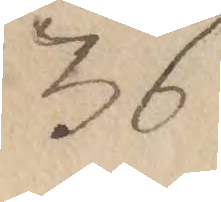36
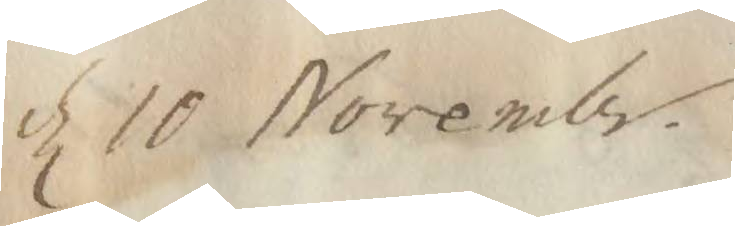d 10 Novembr.
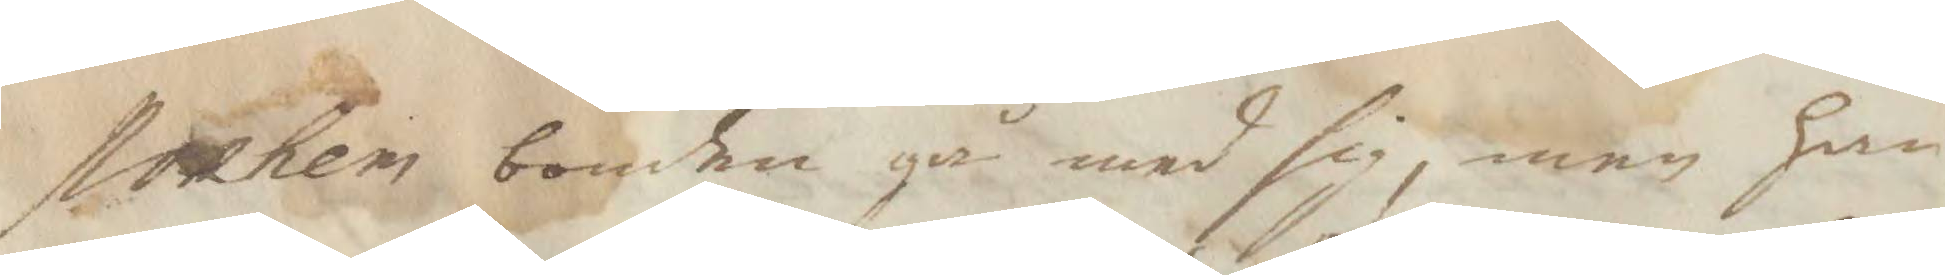stokhem bonden gå med sig, men han
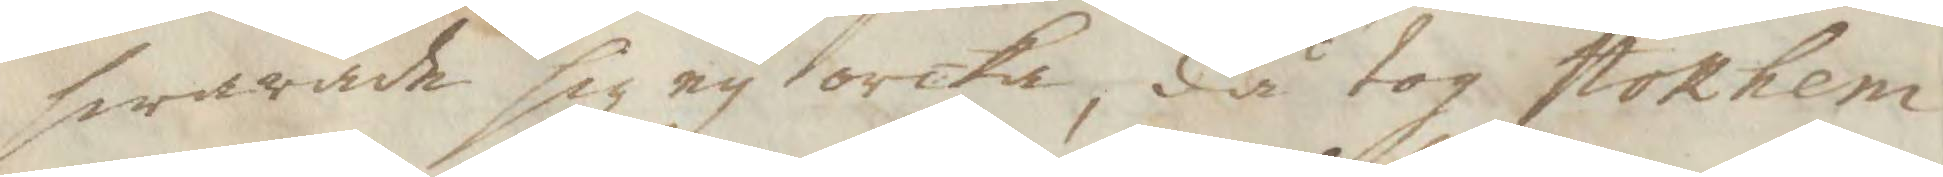swarade sig ey orcka, då tog stokhem
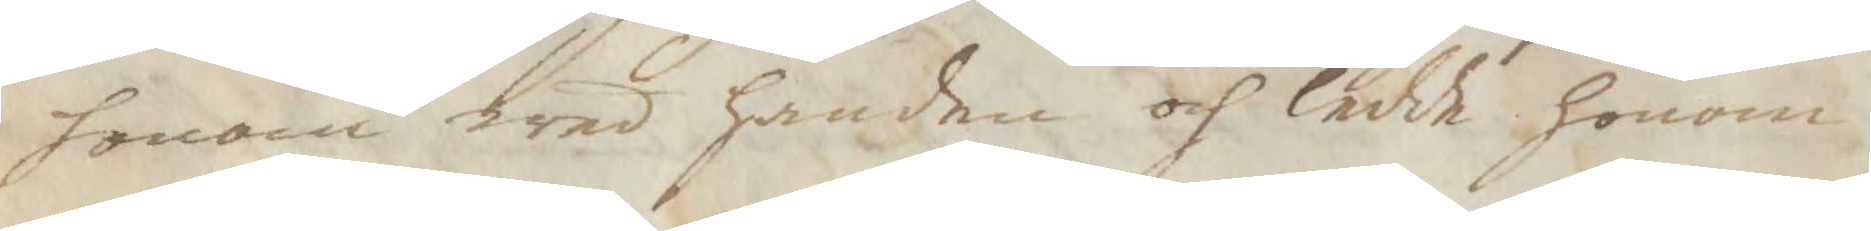honom wed handen och ledde honom
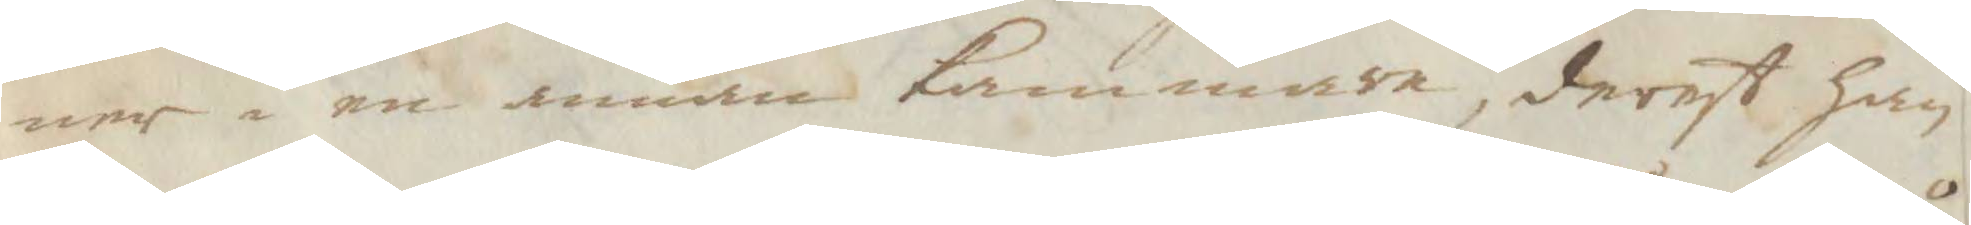ner i en annan Kammare, derest han
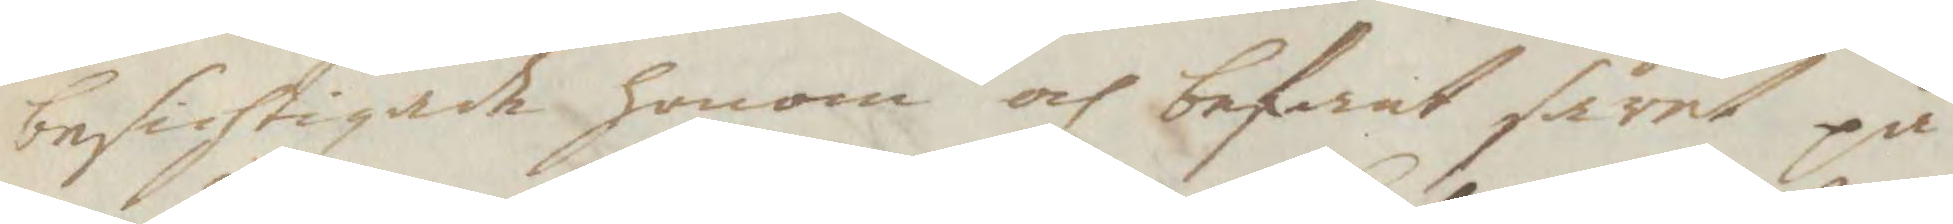besichtigade honom och befant såret på
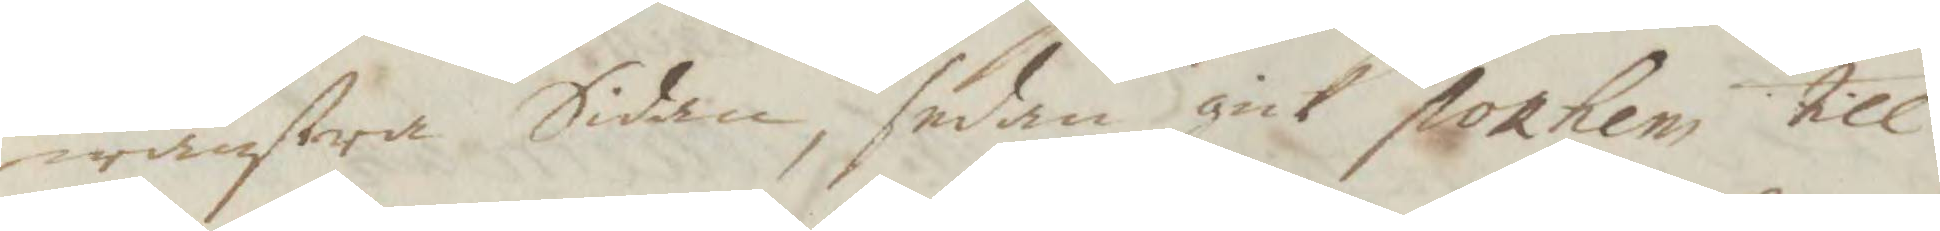wänstra Sidan, sedan gick strokhem till
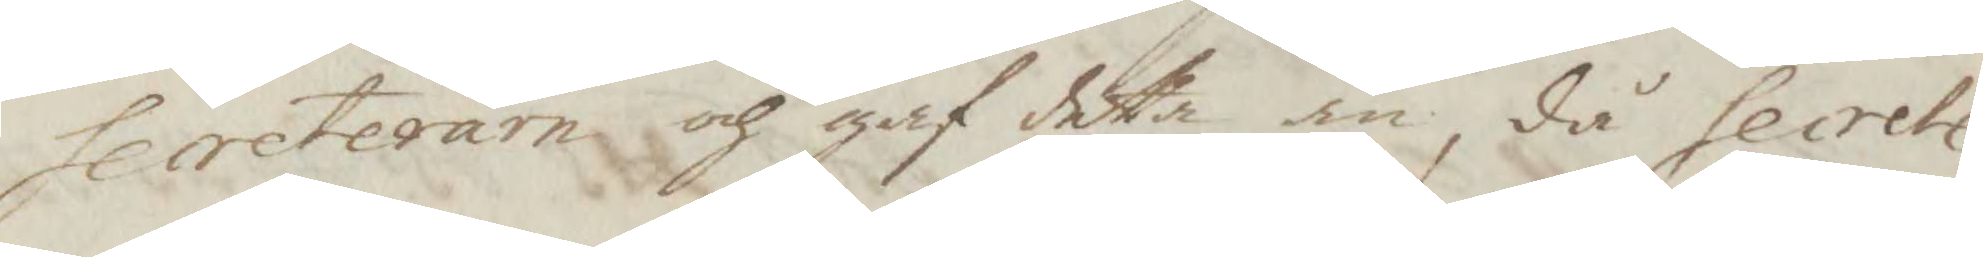Secreteraren och gaf detta an, då Secrete¬
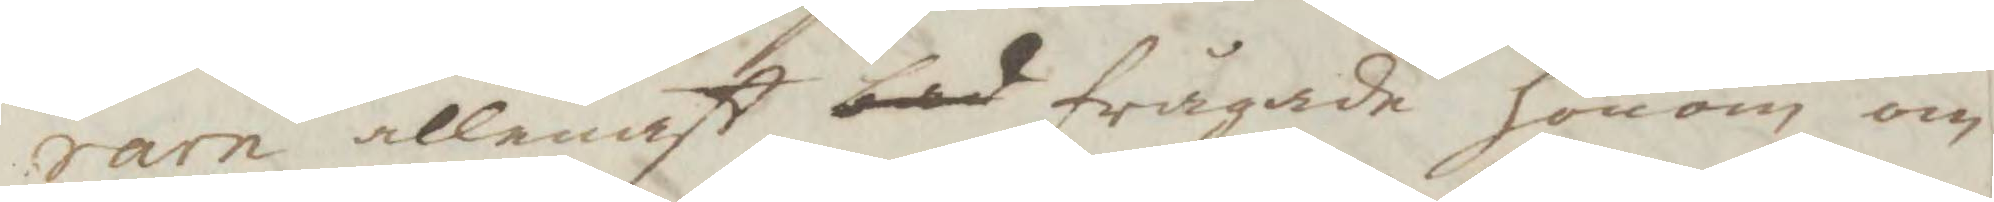raren allenast bad frågade honom om
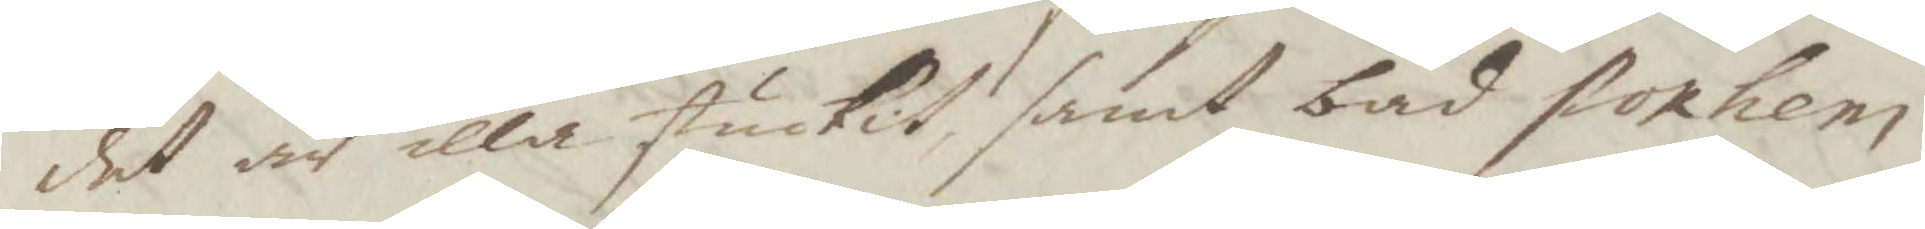det är illa stuckit, samt bad stokhem
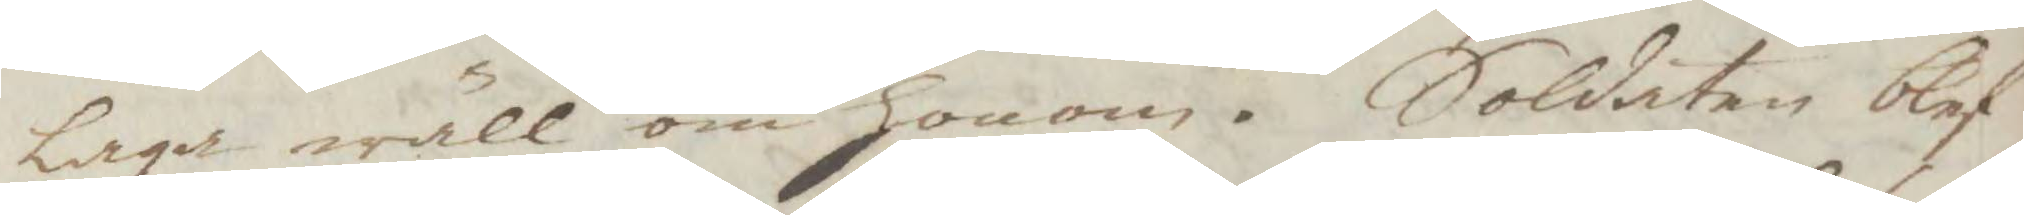laga wäll om honom. Soldaten blef
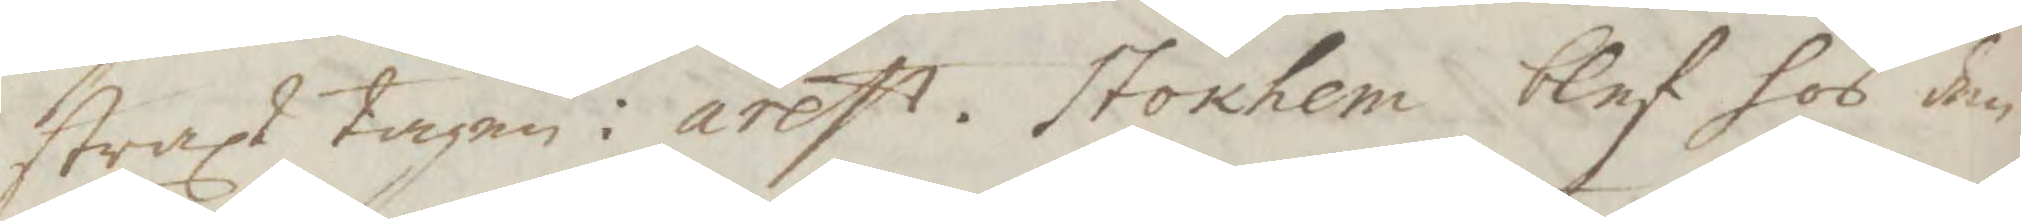straxt tagen i arrest. stokhem blef hos den
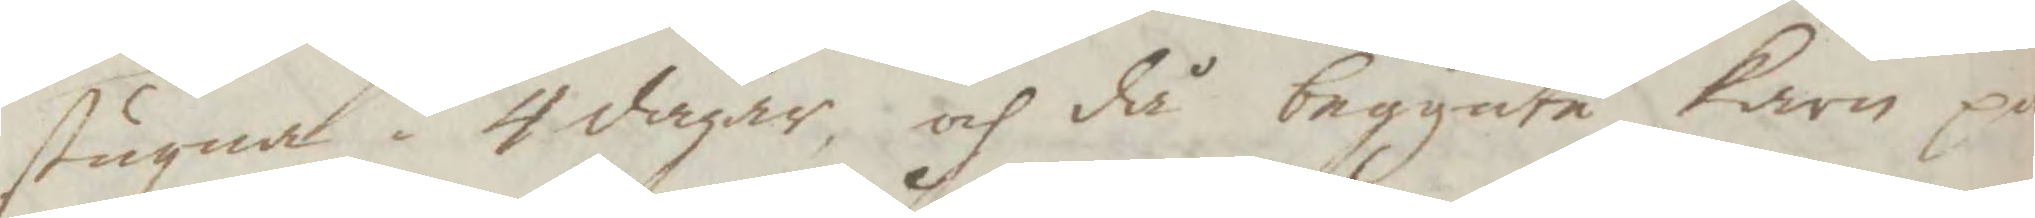stugna i 4 dagar och då begynte karn på
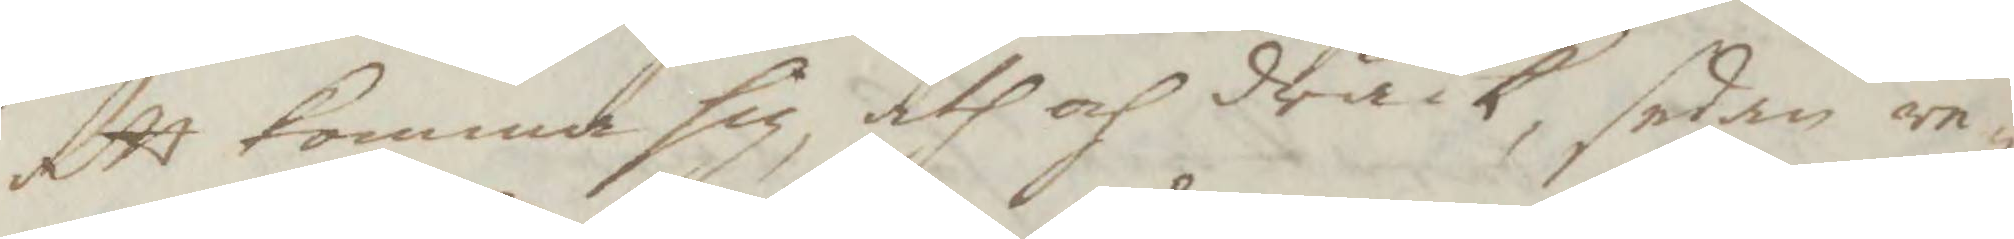att komma sig, åth och drack, sedan re¬
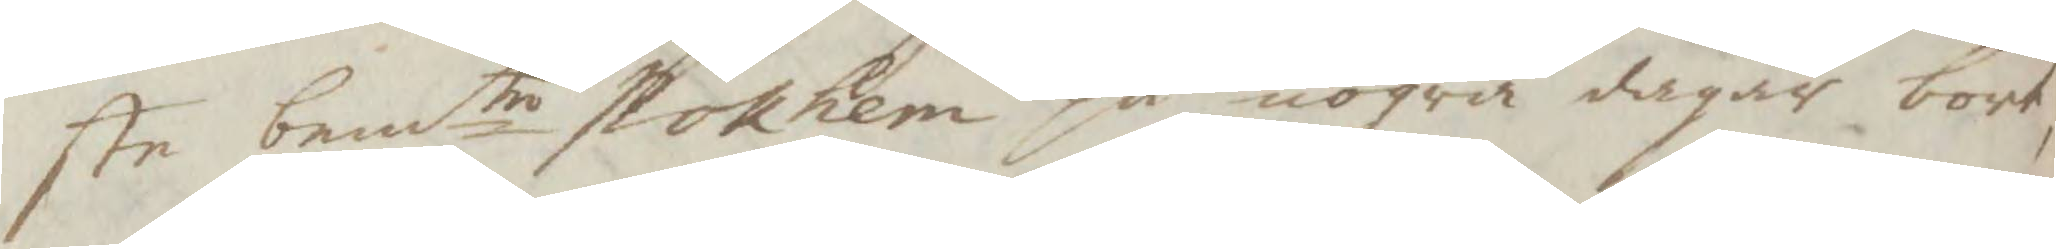ste bemtro stokhem på nogra dagar bort,
